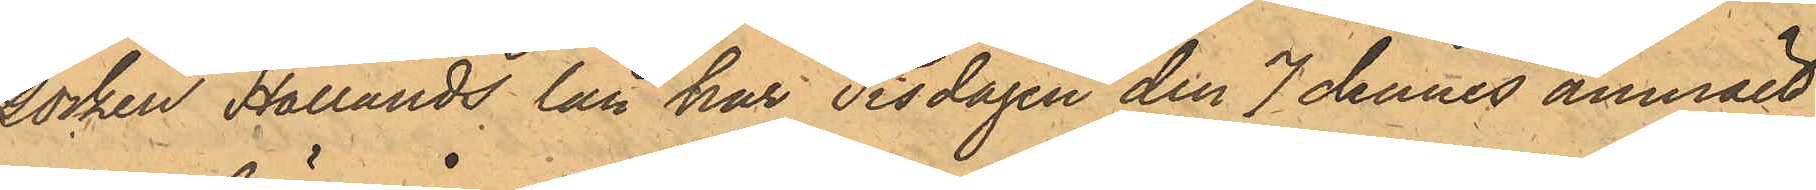socken Hallands län har Tisdagen den 7 dennes anmält
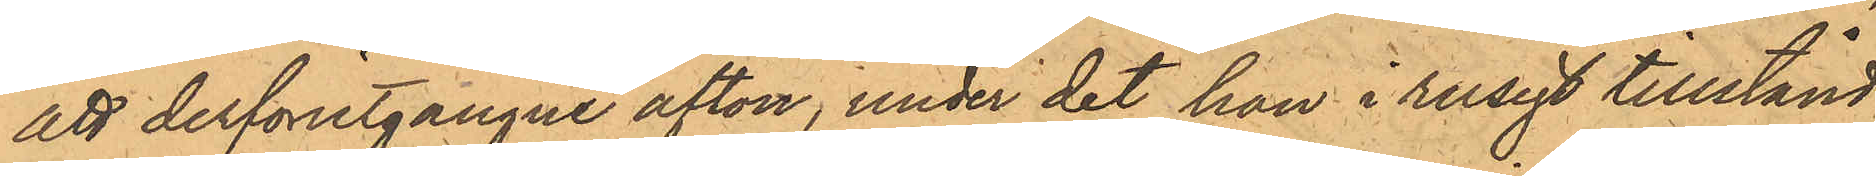att derförutgångne afton, under det han i rusigt tillstånd
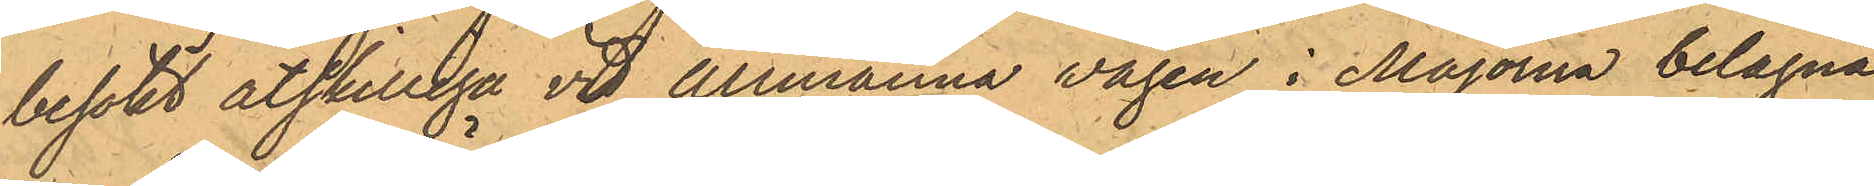besökt åtskilliga vid Allmänna vägen i Majorna belägna
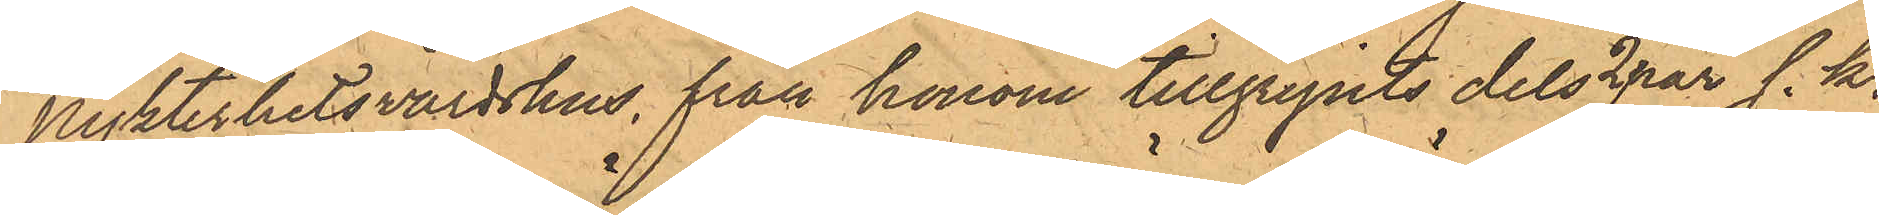Nykterhetsvärdshus, från honom tillgripits dels 2 par s.k.
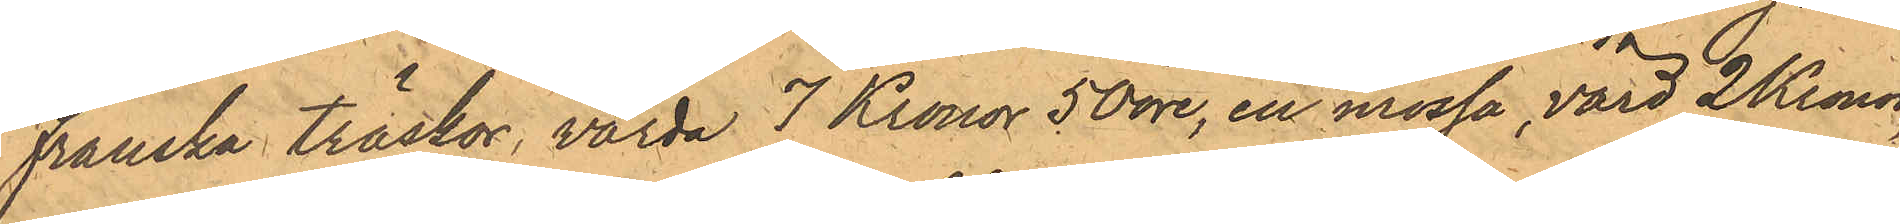Franska träskor, värda 7 Kronor 50 öre, en mössa värd 2 Kronor,
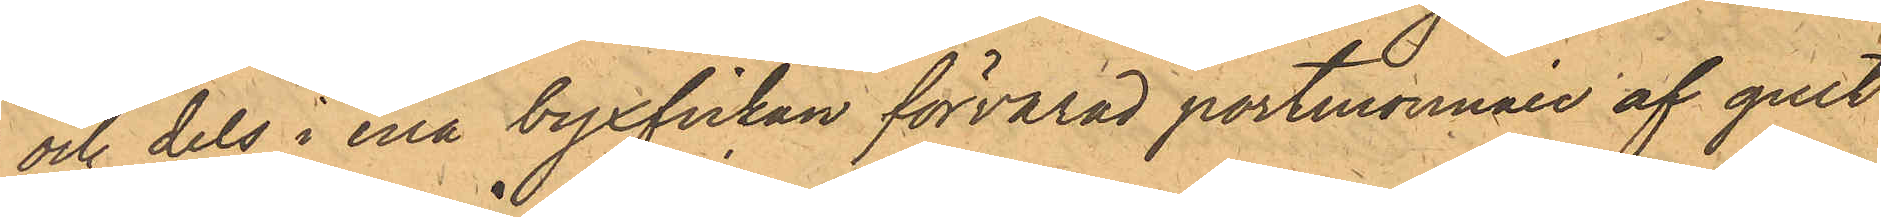och dels i ena byxfickan förvarad portmonnaie af gult
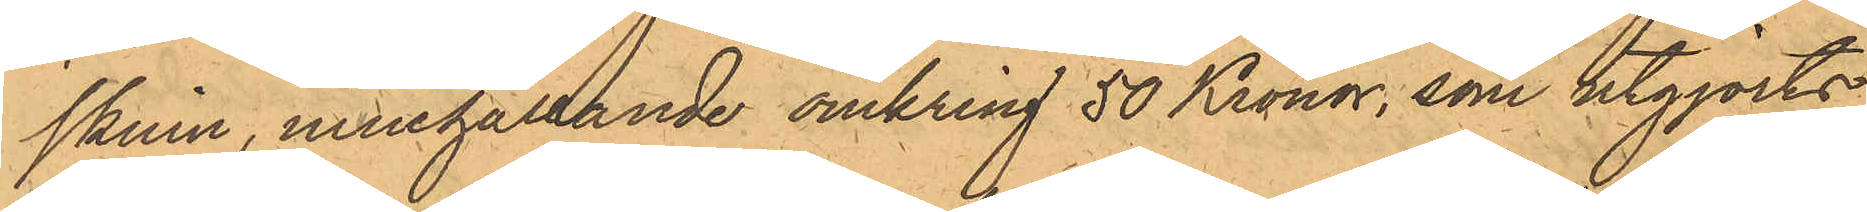skinn, innehållande omkring 50 Kronor, som utgjorts
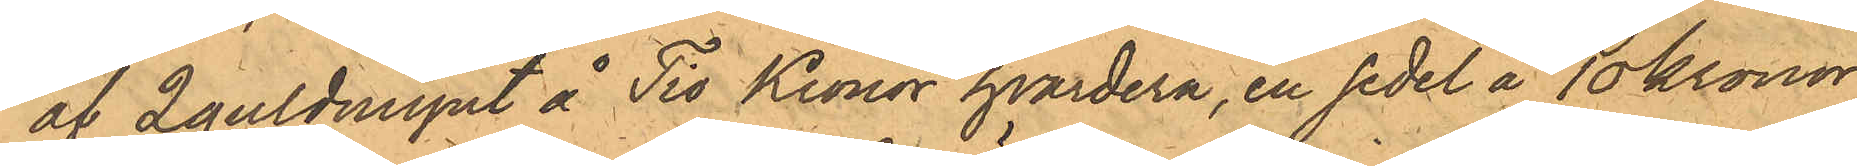af 2 guldmynt å Tio Kronor hvardera, en sedel å 10 Kronor,
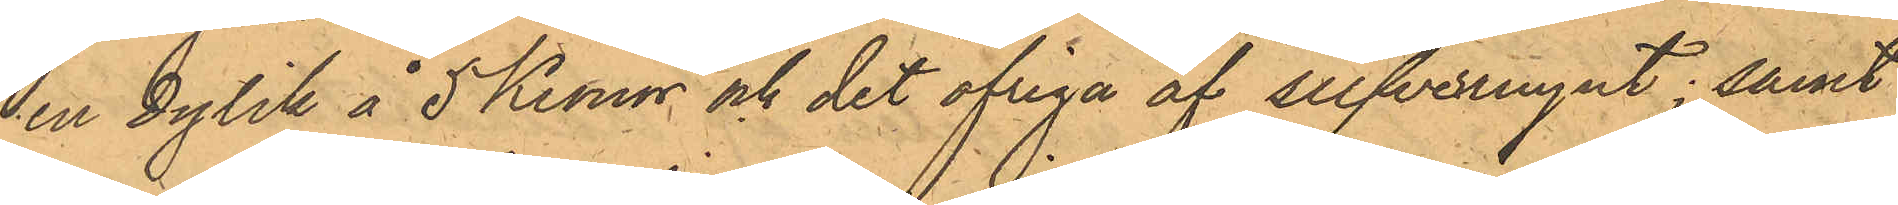en dylik å 5 Kronor och det öfriga af silfvermynt; samt
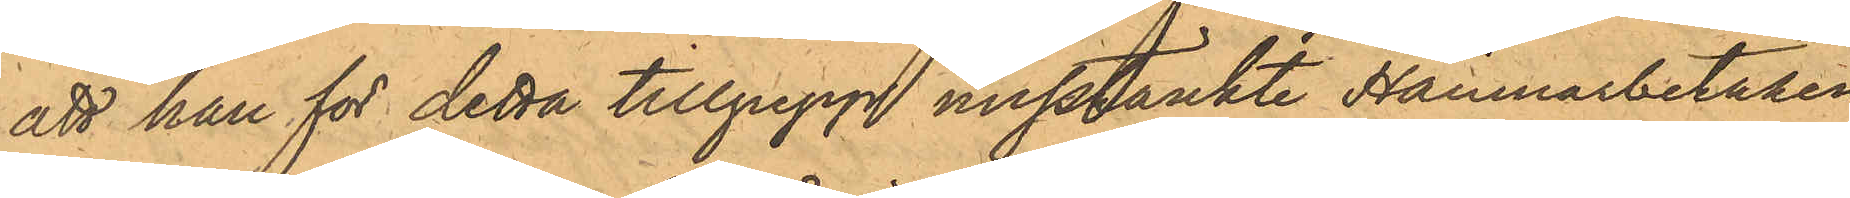att han för detta tillgrepp misstänkte Hamnarbetaren
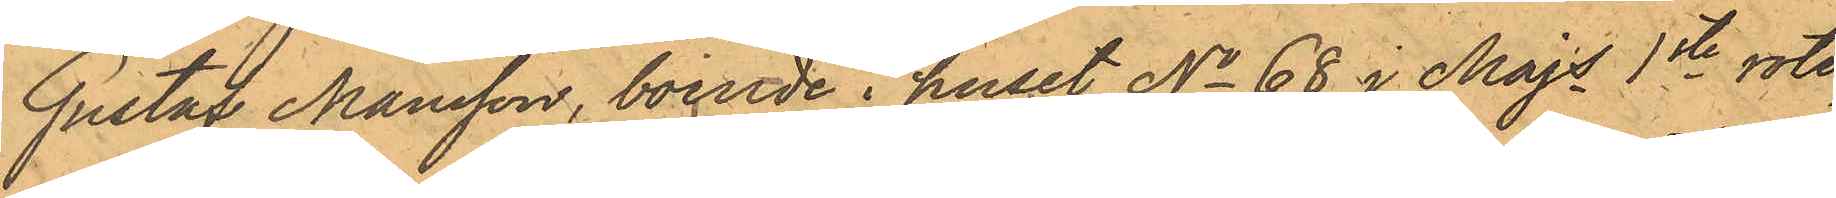Gustaf Månsson, boende i huset No 68 i Majs 1ste rote,
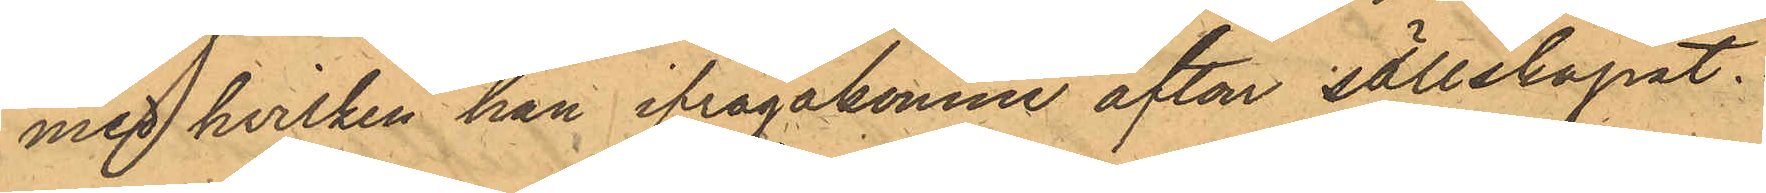med hvilken han ifrågakomne afton sällskapat.
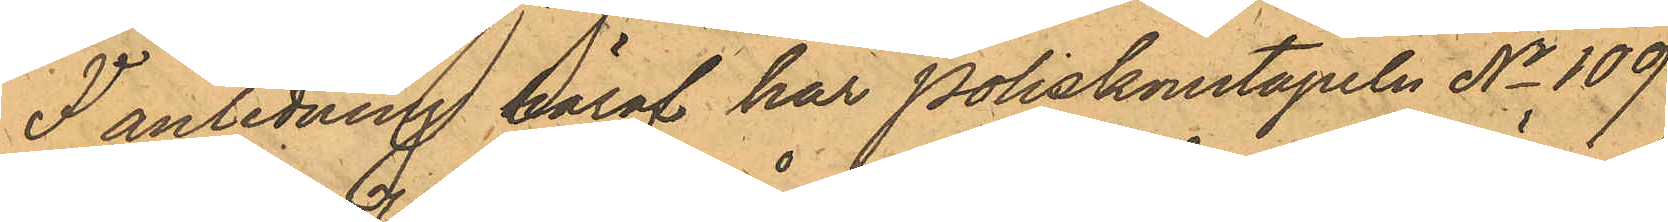I anledning häraf har Poliskonstapeln No 109
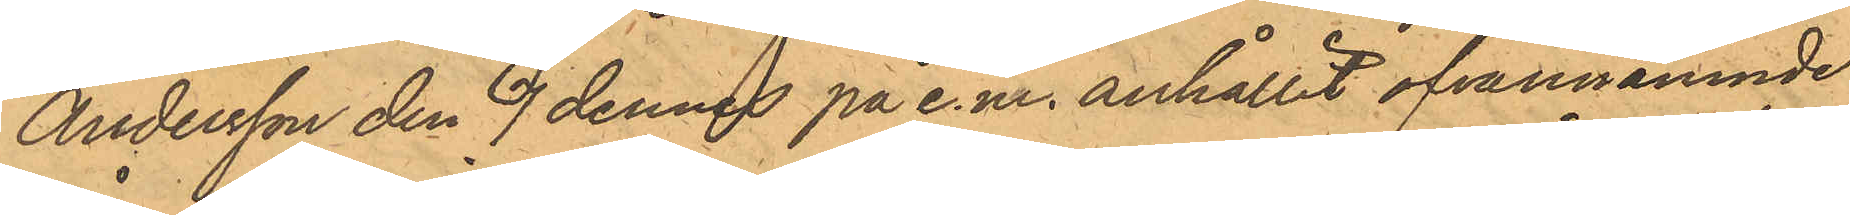Andersson den 7 dennes på e.m. anhållit ofvannämnde
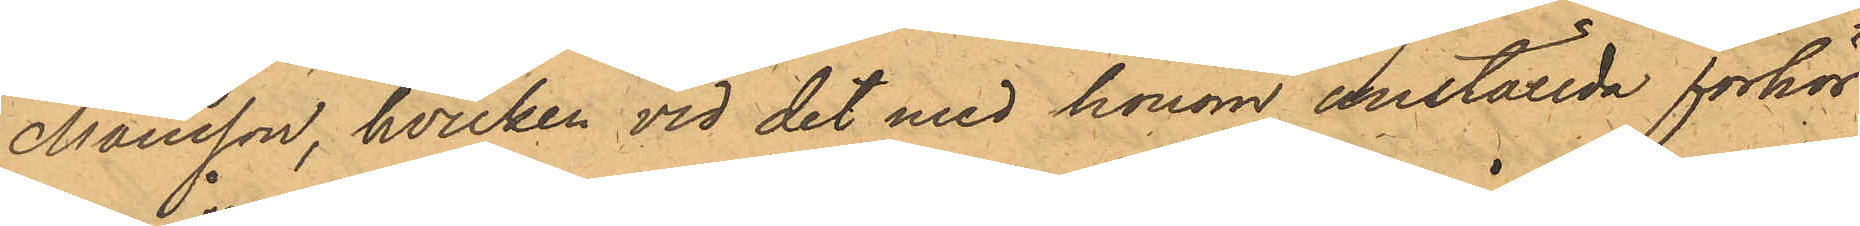Månsson, hvilken vid det med honom anställda förhör
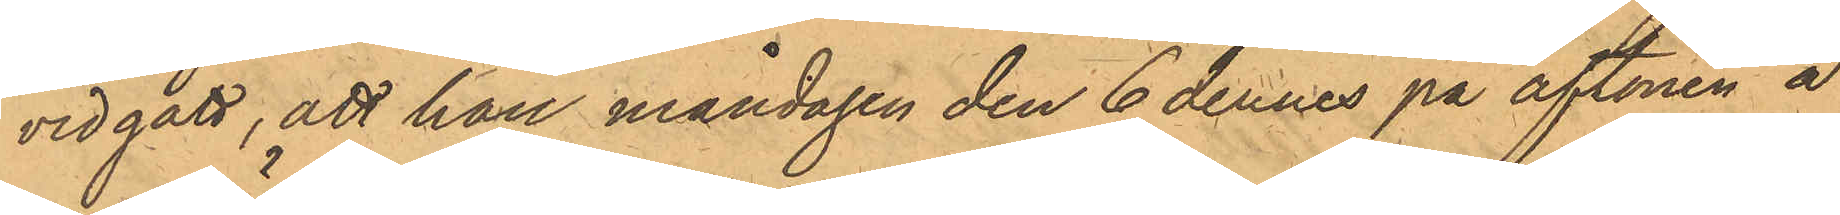vidgått, att han måndagen den 6 dennes på aftonen å
